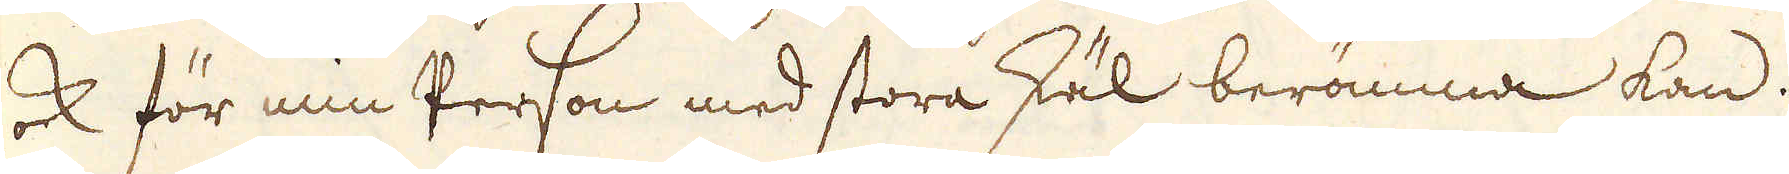ock för min Person med stora skäl berömma kan.
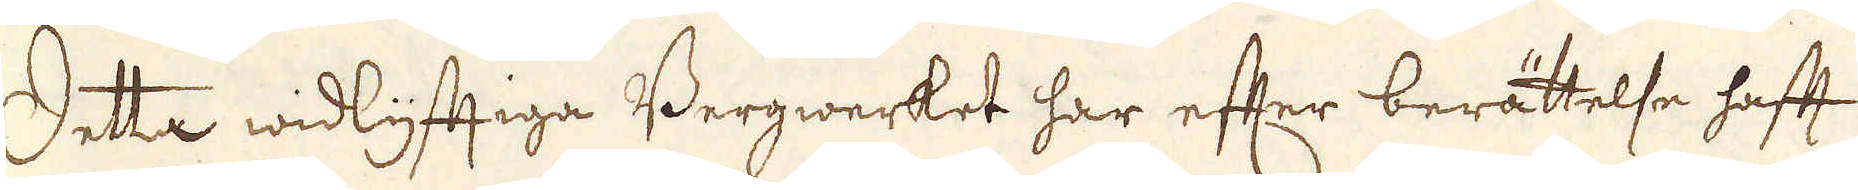Detta widlyftiga Bergwerket har efter berättelse haft
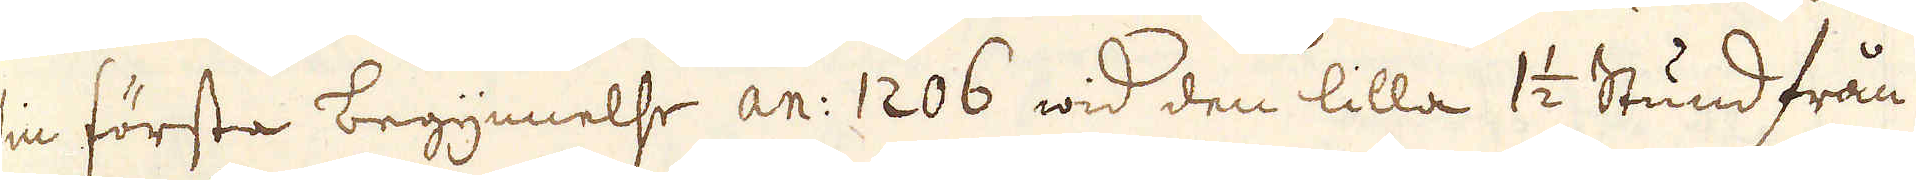sin första begynnelse an: 1206 wid den lilla 1 1/2 Stund från
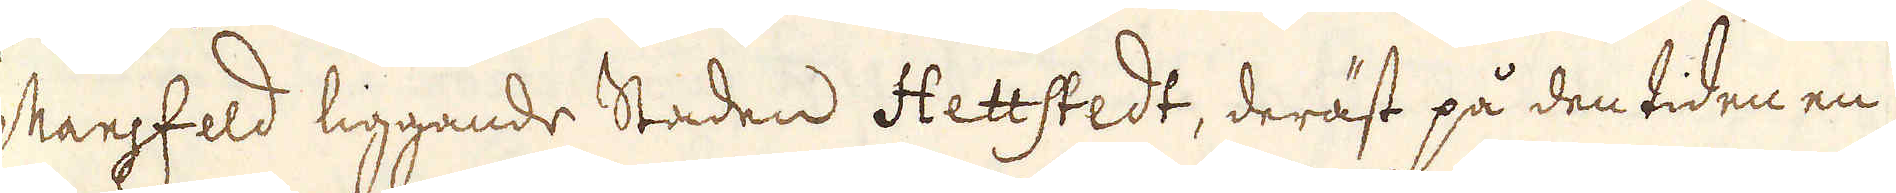Mansfeld liggande Staden Hettstedt, deräst på den tiden en
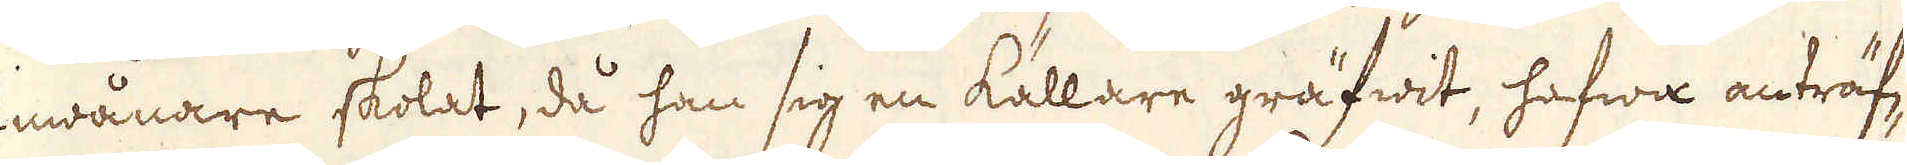Inwånare skolat, då han sig en källare gräfwit, hafwa anträf-
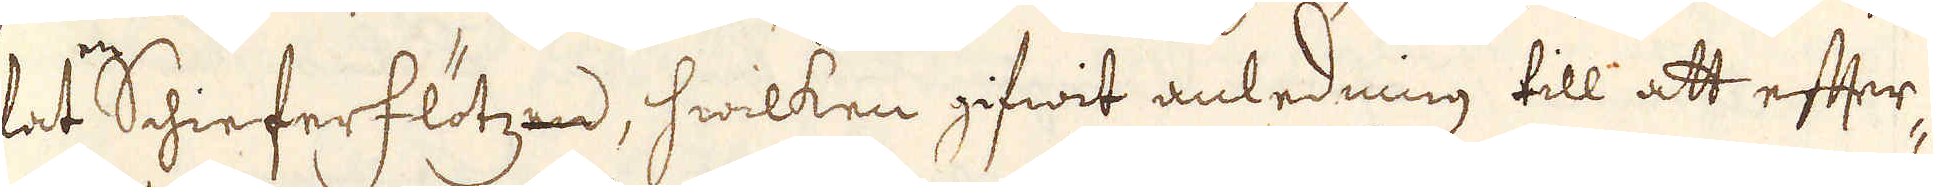fat Schieferflötzen, hwilken gifwit anledning till att efter-
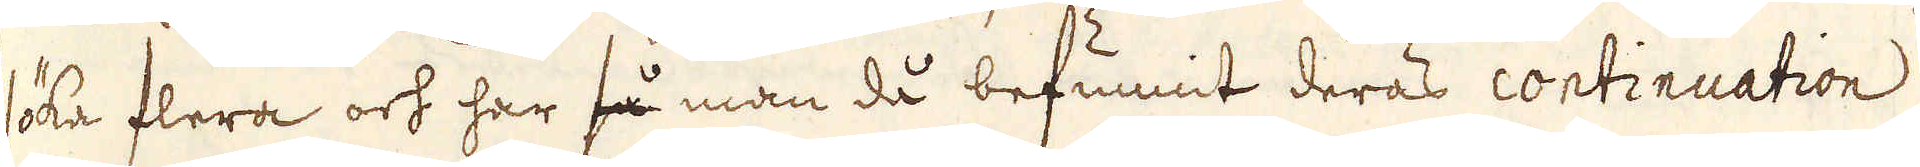söka flera och har så man då befunnit deras continuation
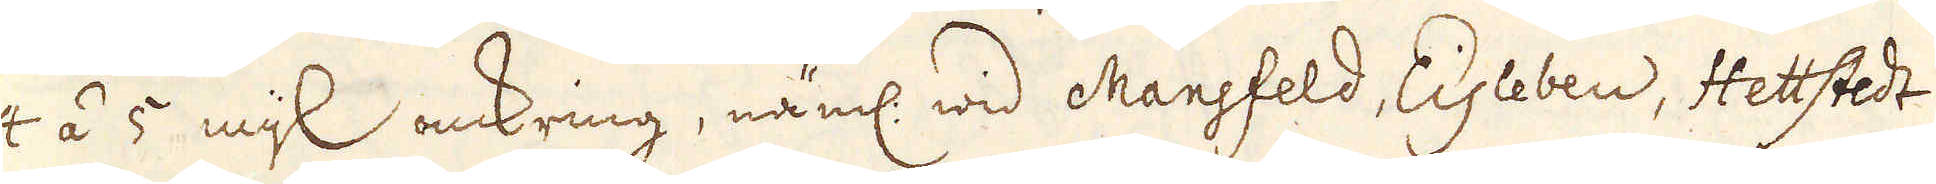4 á 5 mijl omkring, näml: wid Mansfeld, Eisleben, Hettstedt
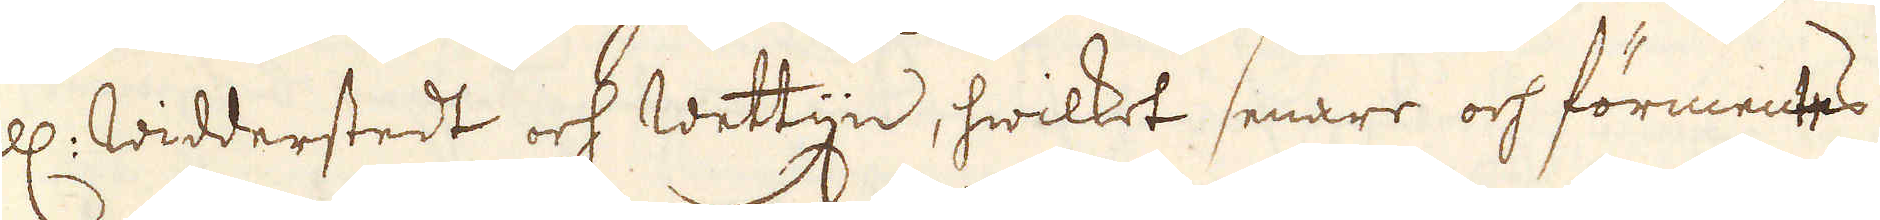ell: Widderstedt och Wettijn, hwilket senare och förmentes
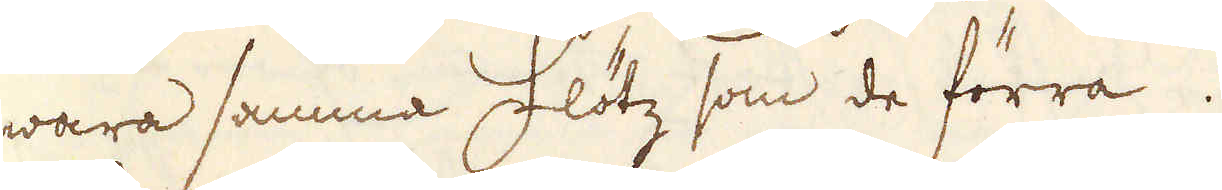wara samma flötz som de förra.
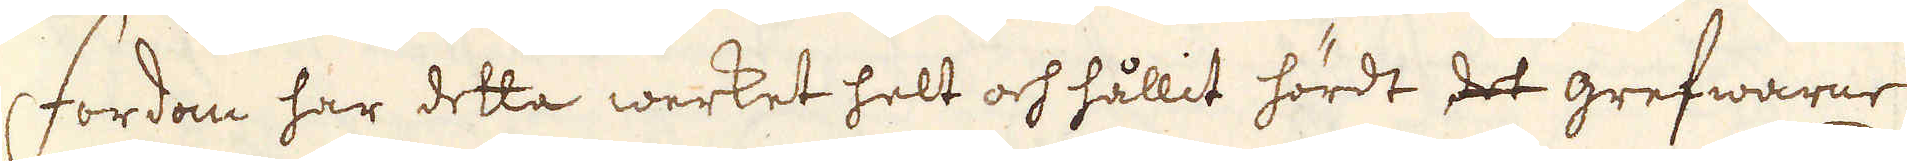Fordom har detta werket helt och hållit hördt det grefwarne
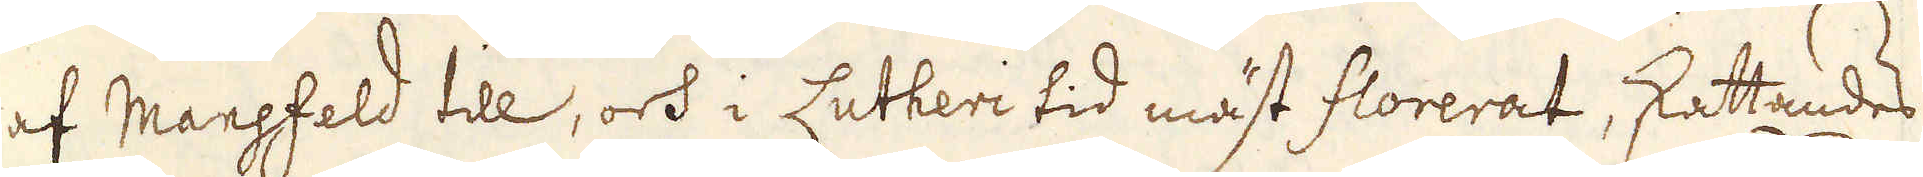af Mansfeld till, och i Lutheri tid mäst florerat, skattandes
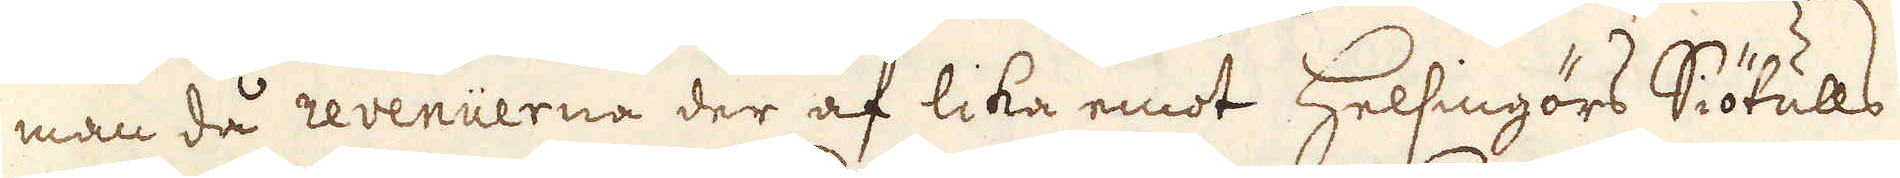man då revenuerna der af lika emot Helsingörs Siötulls
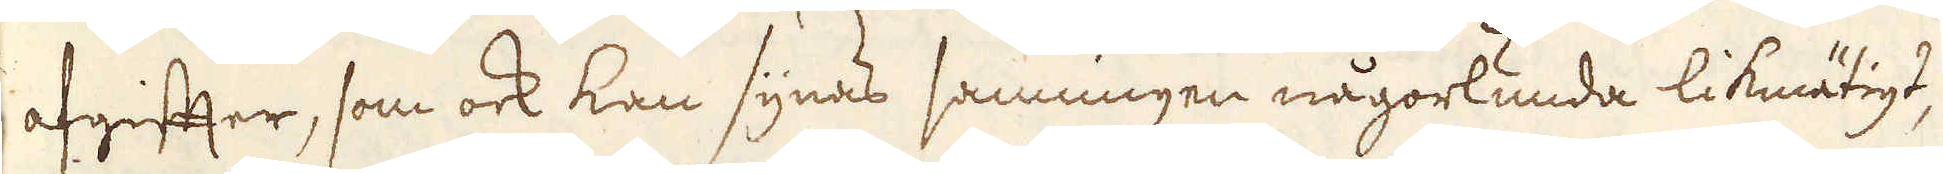afgiffter, som ock kan synas sanningen någorlunda likmätigt,
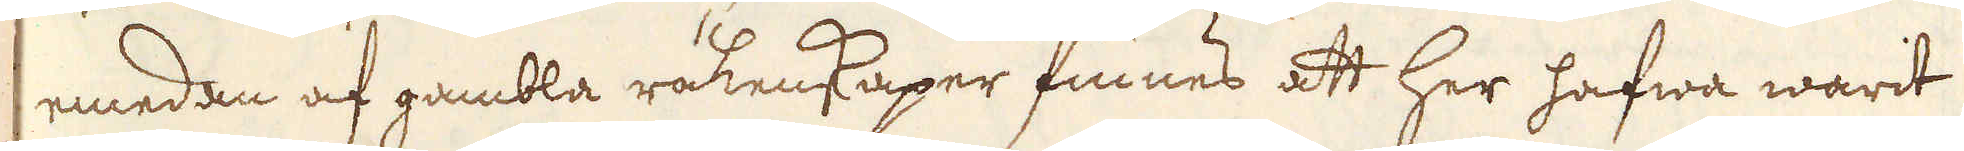emedan af gambla räkenkaper finnes att her hafwa warit
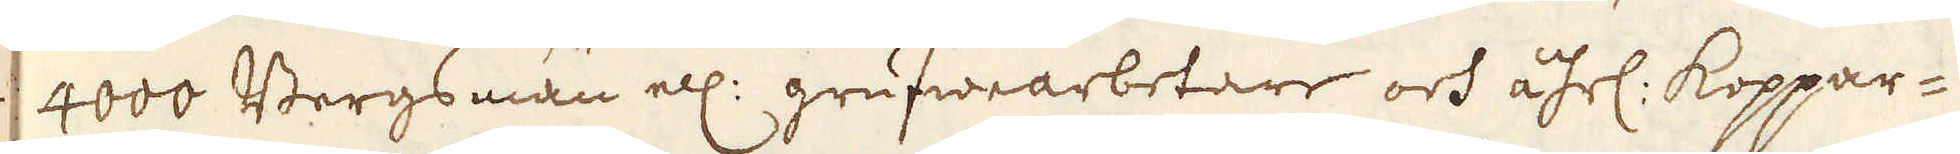4000 Bergsmän ell: grufwearbetare och åhrl: Koppar-
